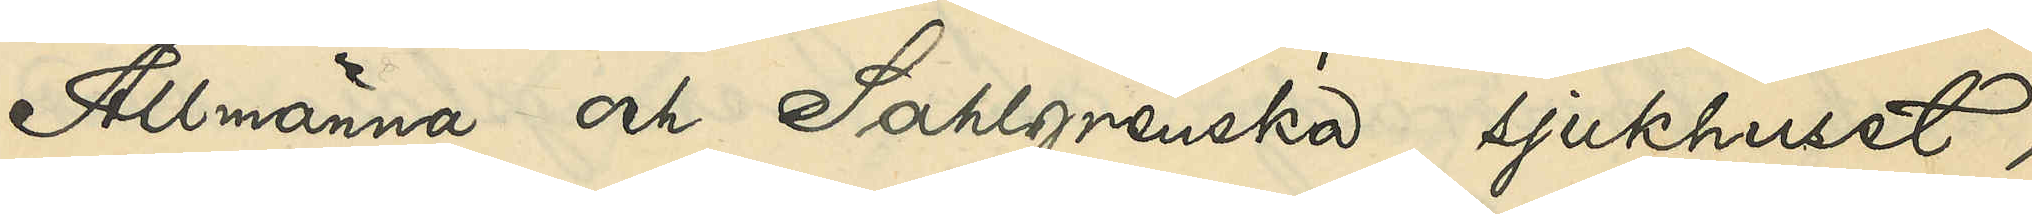Allmänna och Sahlgrenska sjukhuset,
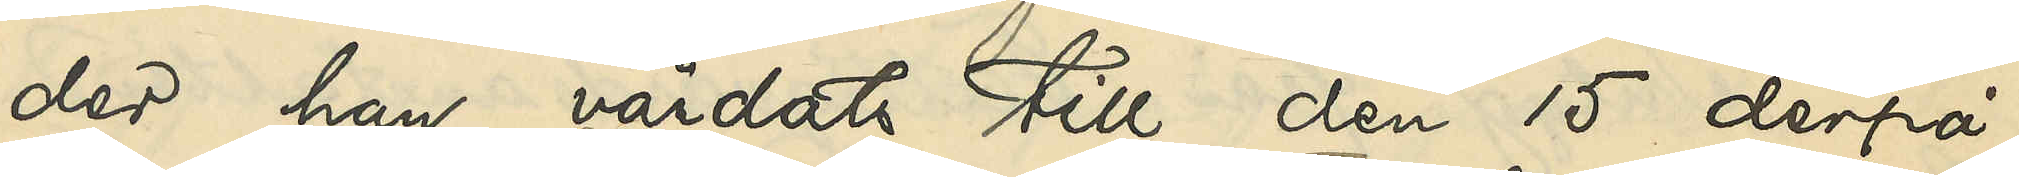der hon vårdats till den 15 derpå¬
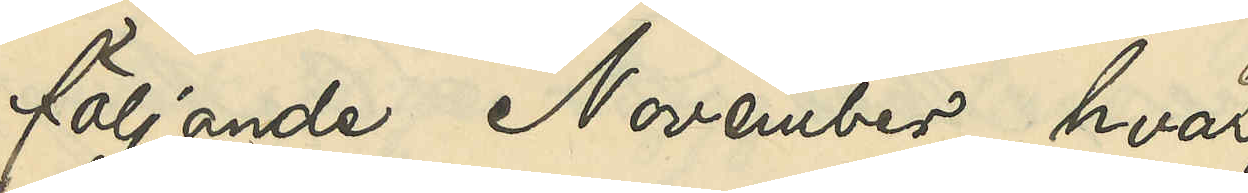följande November hvar¬
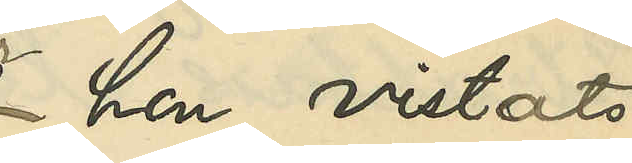hon vistats
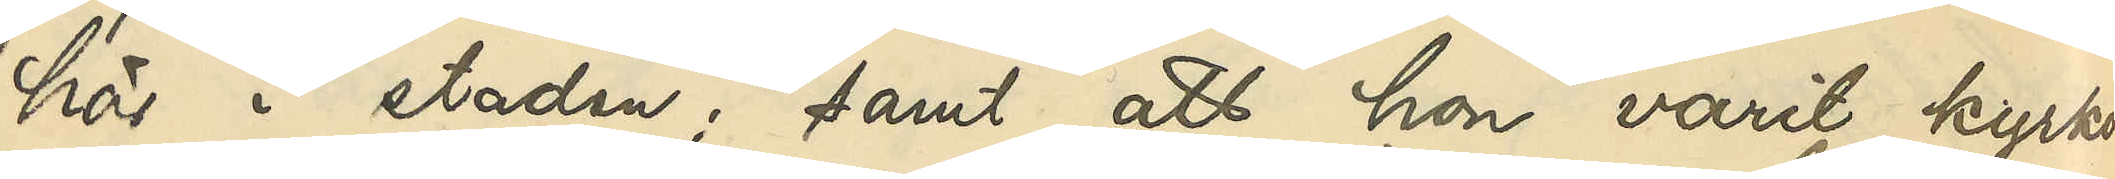här i staden; samt att hon varit kyrko¬
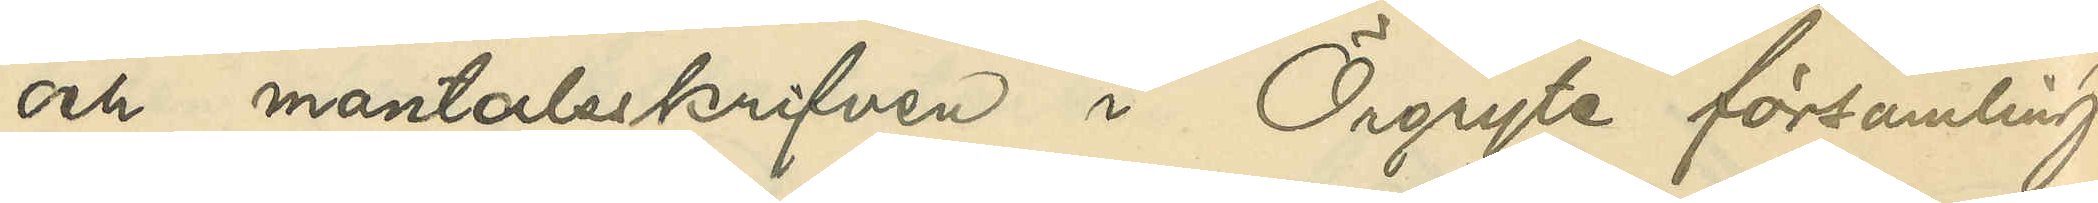och mantalsskrifven i Örgryte församling.
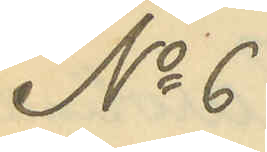No 6
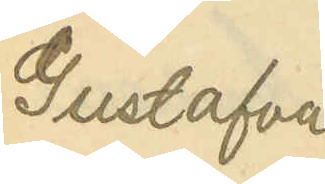Gustafva
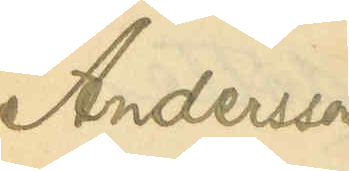Andersson
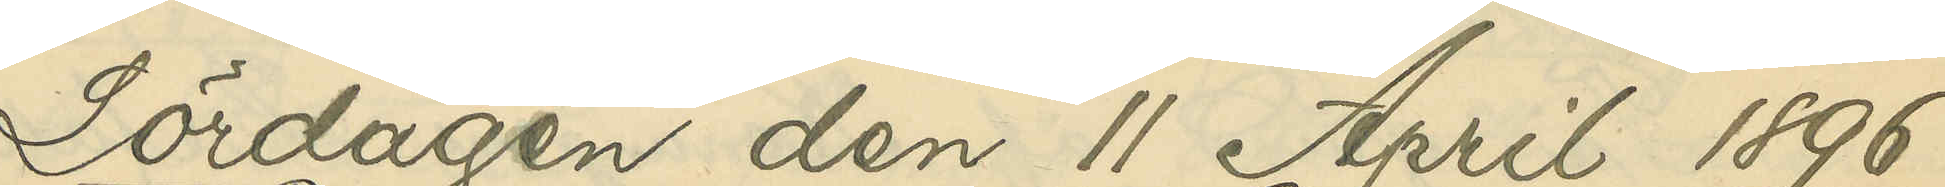Lördagen den 11 April 1896
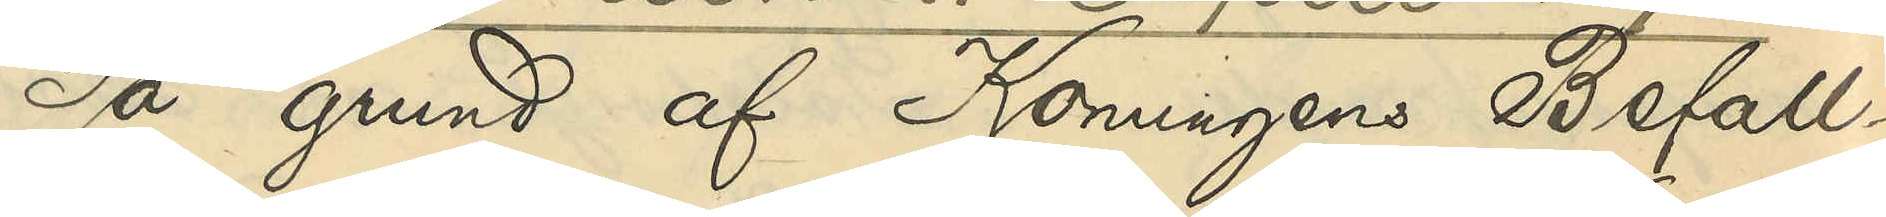På grund af Konungens Befall¬
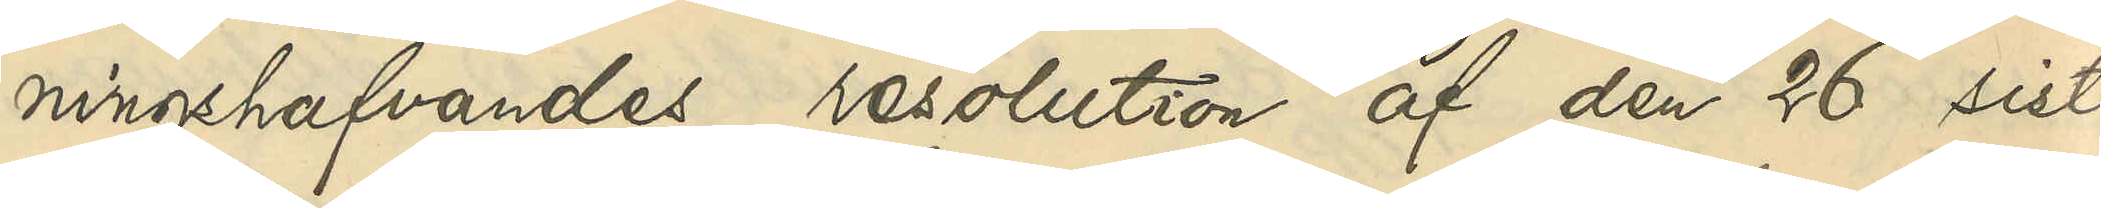ningshafvandes resolution af den 26 sist¬
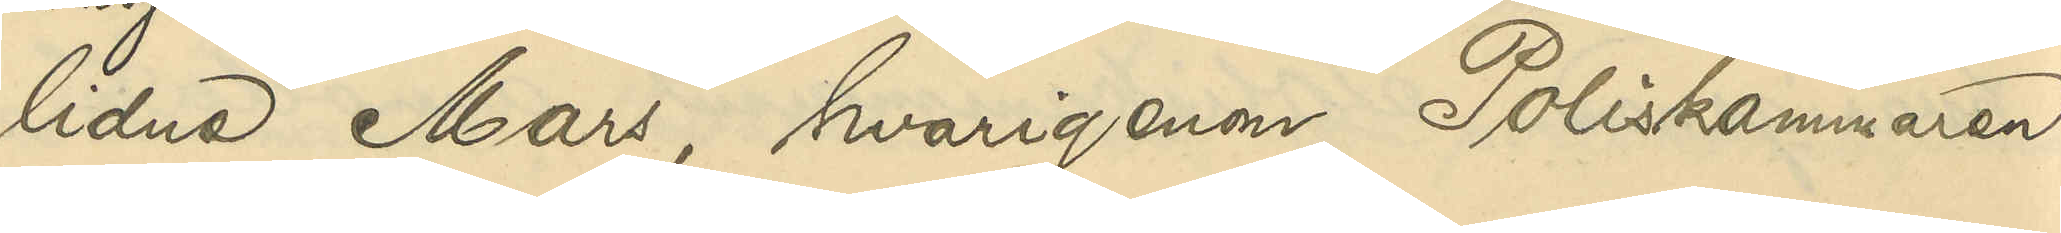lidne Mars hvarigenom Poliskammaren
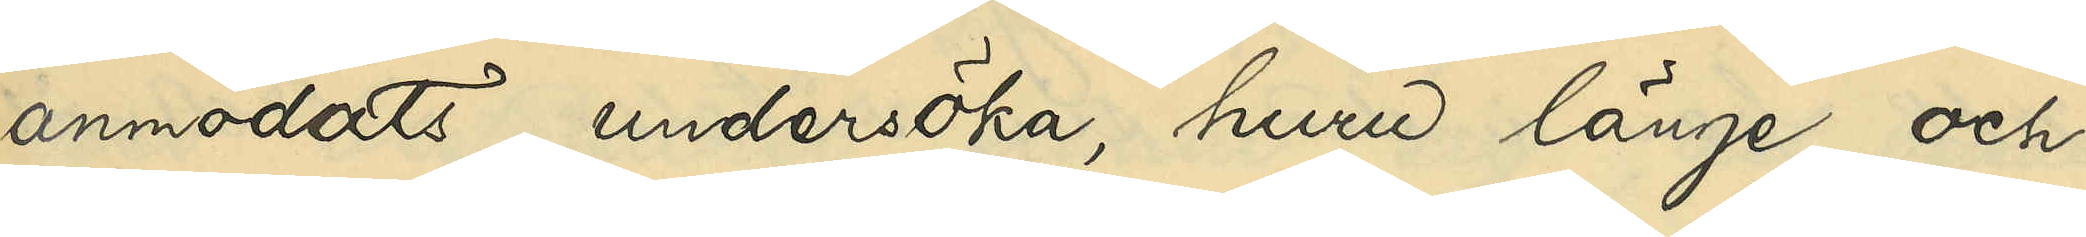anmodats undersöka, huru länge och
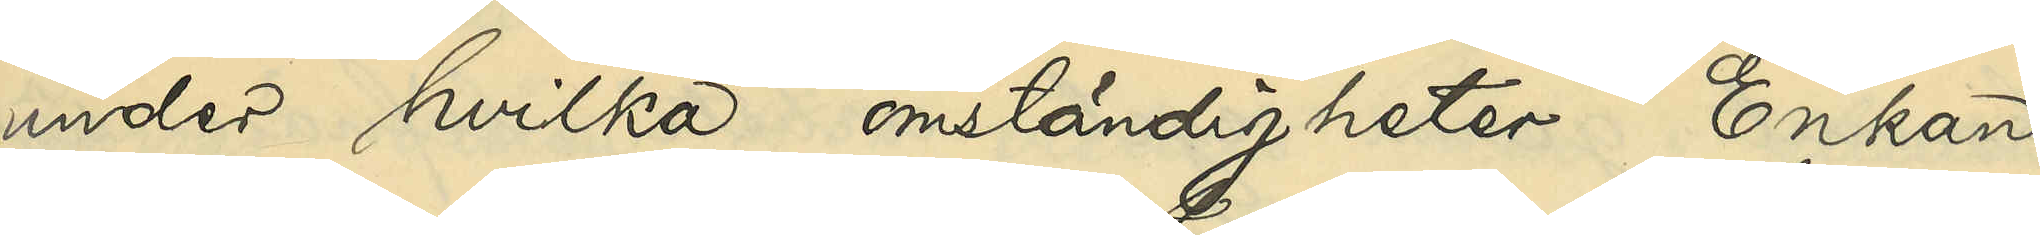under hvilka omständigheter Enkan
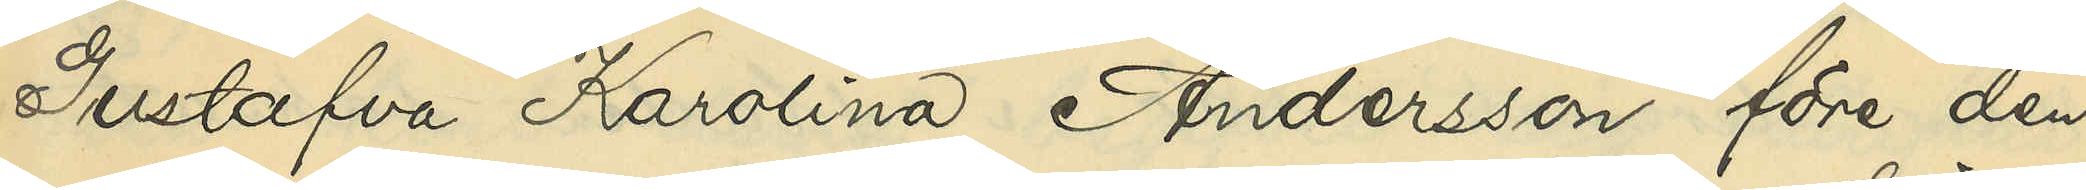Gustafva Karolina Andersson före den
